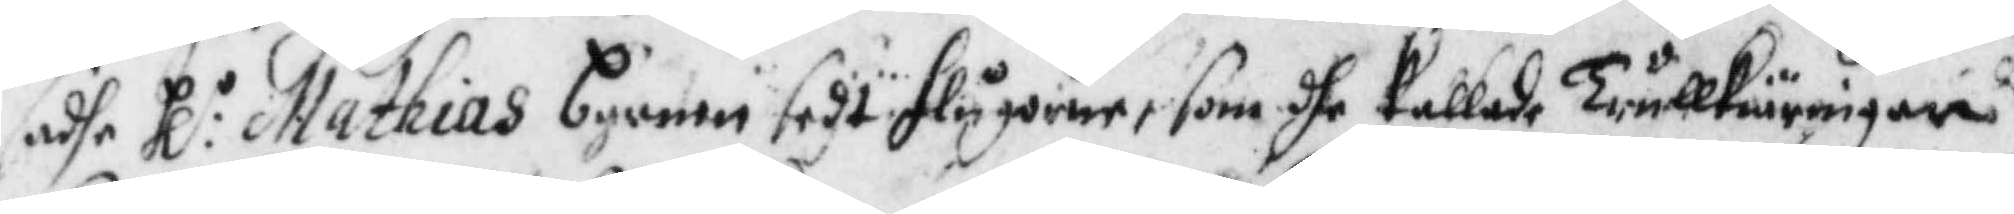sadhe Hl:r Mathias barnen sedt flygorne, som dhe kallade TrullKiäringarne
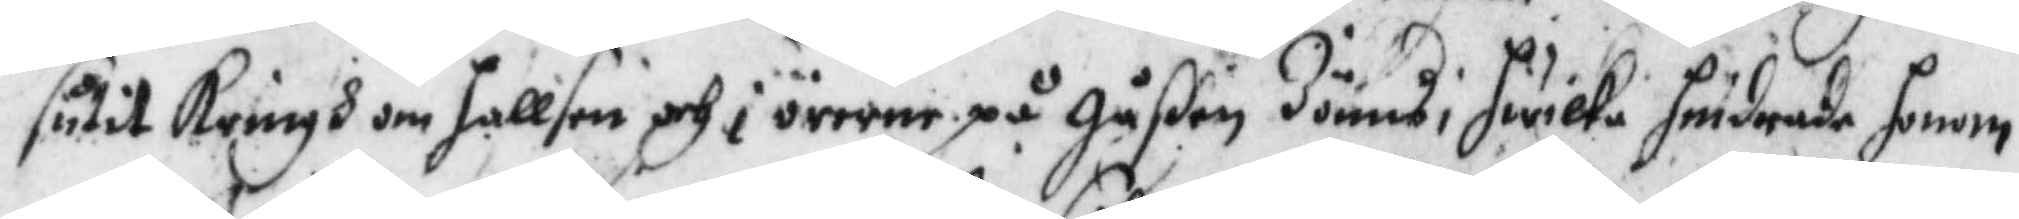sutit Kringh om hallsen och i öronen på gåßen Jönns, hwilka hindrade honom
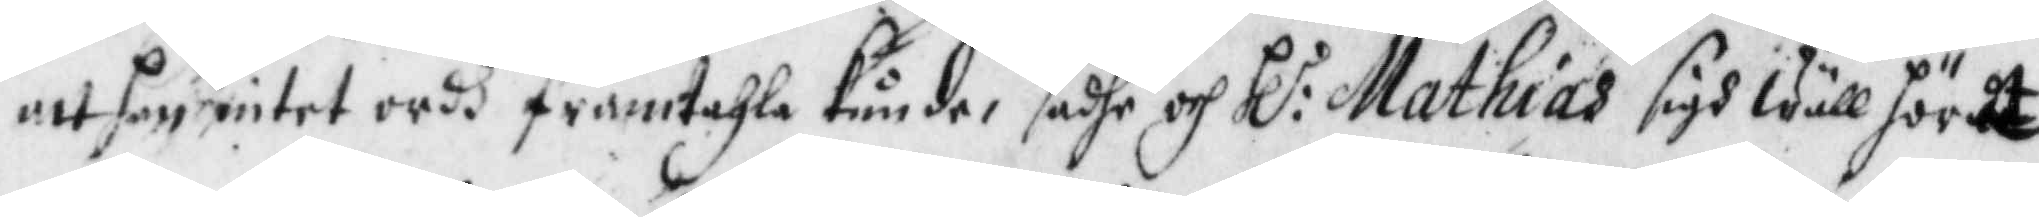att han intet ordh framtahla kunde, sadhe och Hl:r Mathias sigh wäll hördt
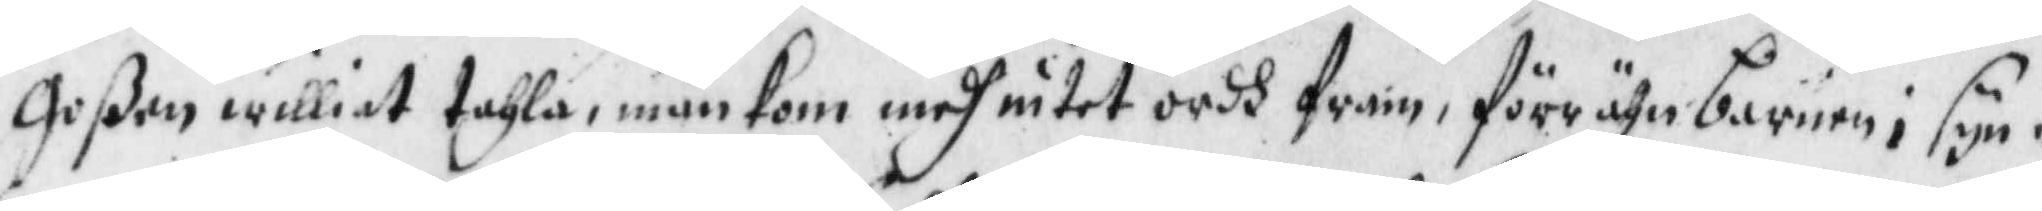goßen williat tahla, mäm kom medh intet ordh fram, förr ähn barnen i syn¬
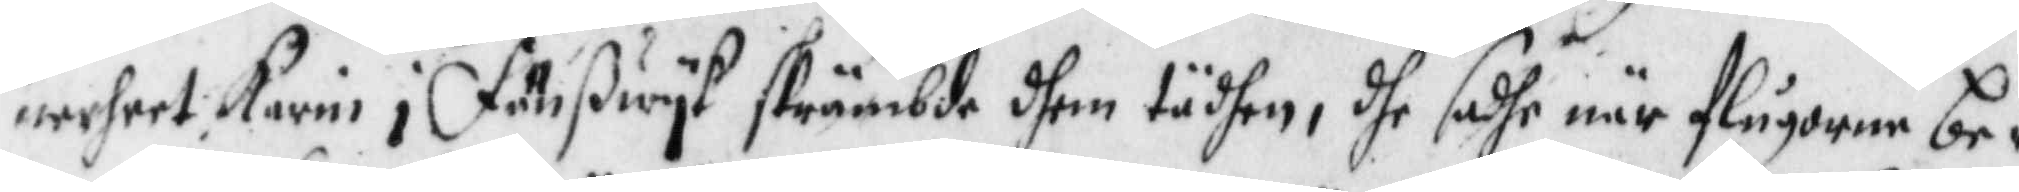nerheet Karin i Fänßwyk skrämbde dhem tädhan, dhe sadhe när flugorne be¬
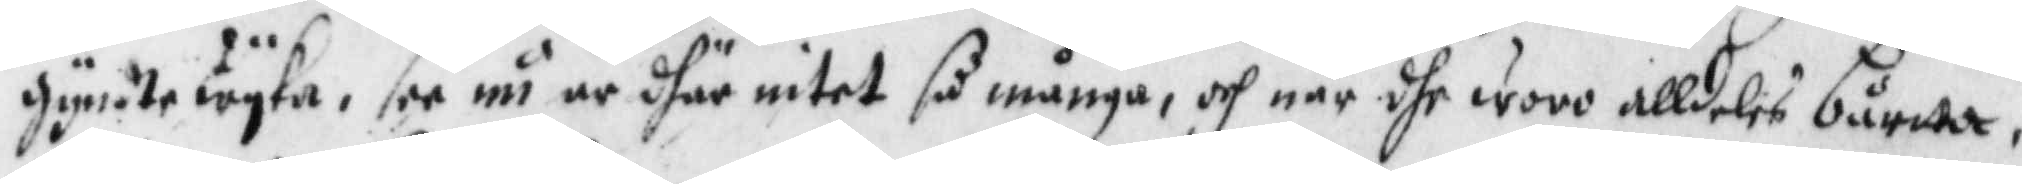gynte wyka, see nu är dhär untet så många, och när dhe woro alldeles bårtta,
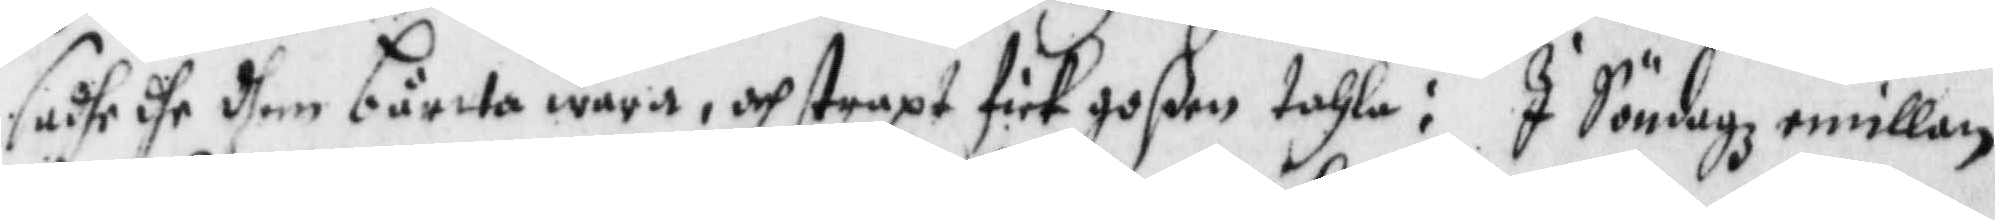sadhe dhe dhem bårtta wara, och straxt fick goßen tahla: I Söndagz emillan
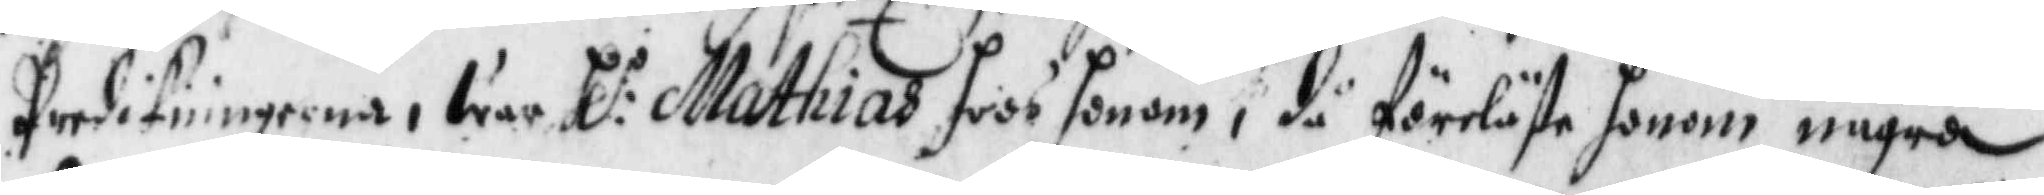Presikningarna, war Hl:r Mathias hoos honom, få föreläste honom några
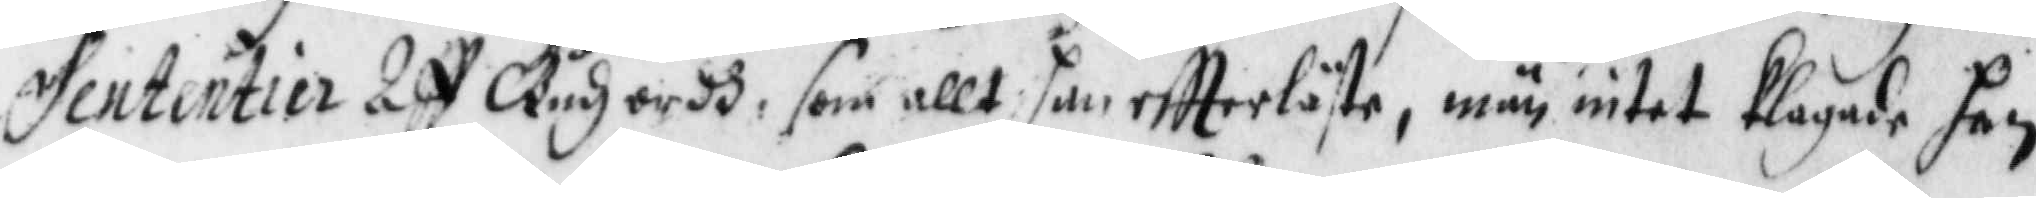Sententier Aff Gudz ordh, som allt han eftterläste, män intet Klagade han
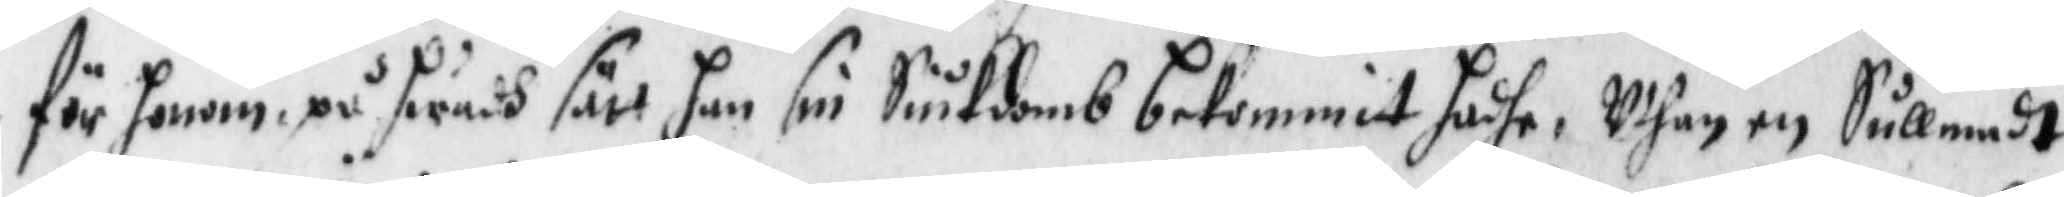för honom på hwadh sätt han sin Siukdomb bekommit hadhe, Uthan en Sullnadt
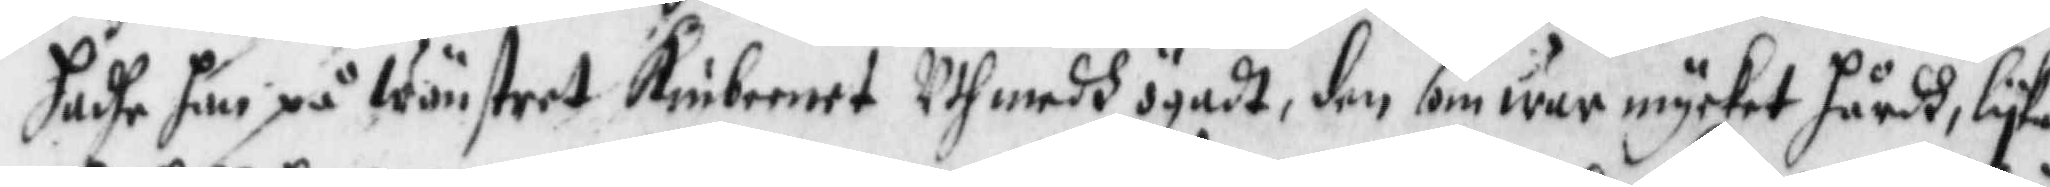hadhe han på Wänstret Kinbenet Uthnedh ögadt, den som war mycket hårdh, lyka
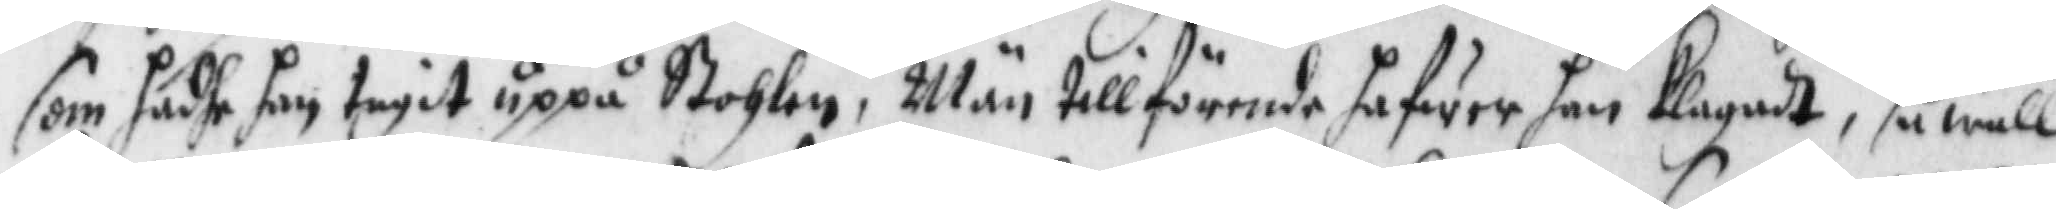som hadhe han tagit uppå Stohlen, Män tillförende hafwer han Klagadt, så wäll
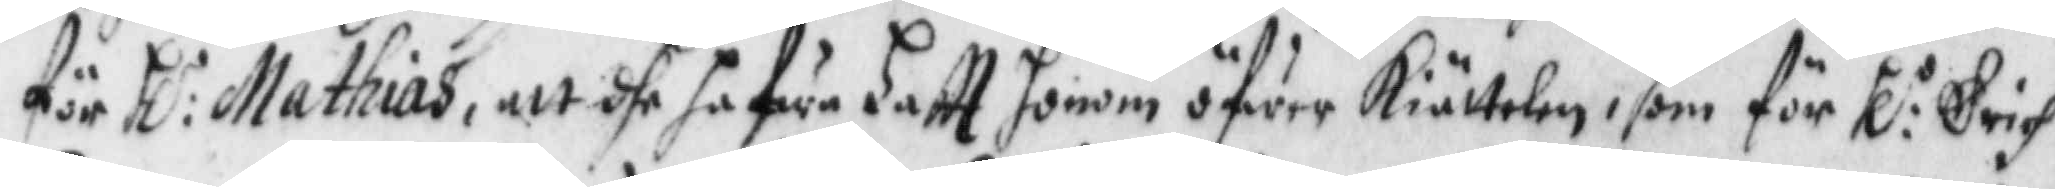för Hl:r Mathias, att dhe hafwa haftt honom öfwer Kiättelen, som för Hl:r Erich
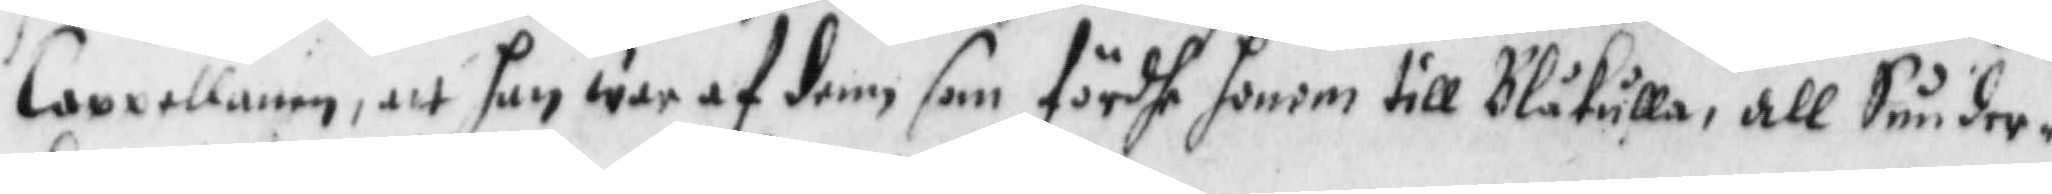Cappellanen, att han war af dem som fördhe honom till Blåkulla, all Sunder¬
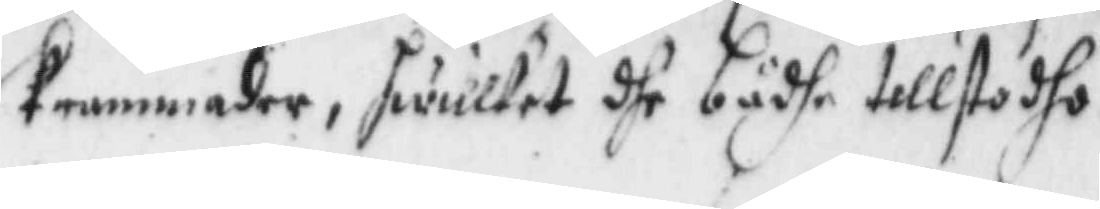Krammader, hwilket dhe bådhe tillstodho.
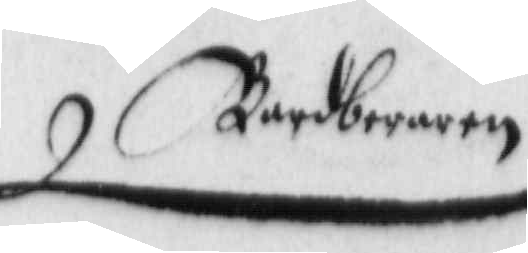Barberaren
